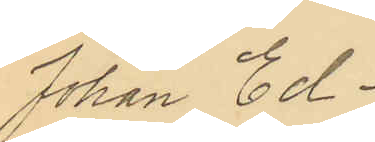Johan Ed¬
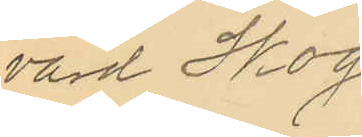vard Skog¬
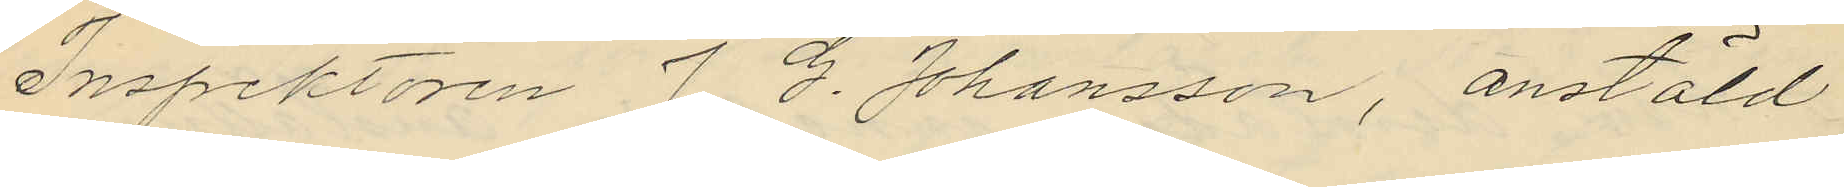Inspektören J. G. Johansson, anstäld
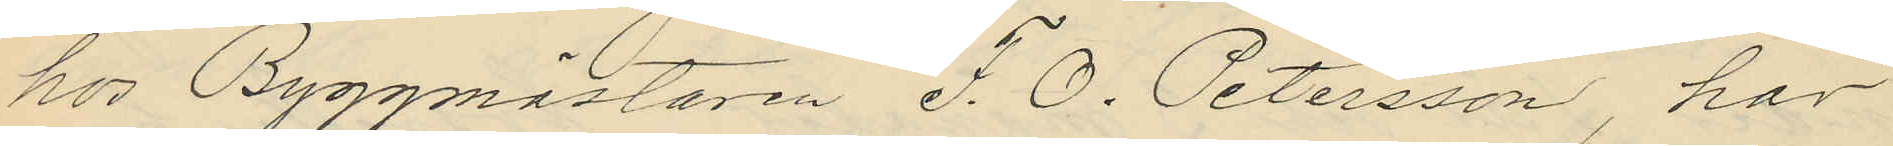hos Byggmästaren F. O. Petersson, har
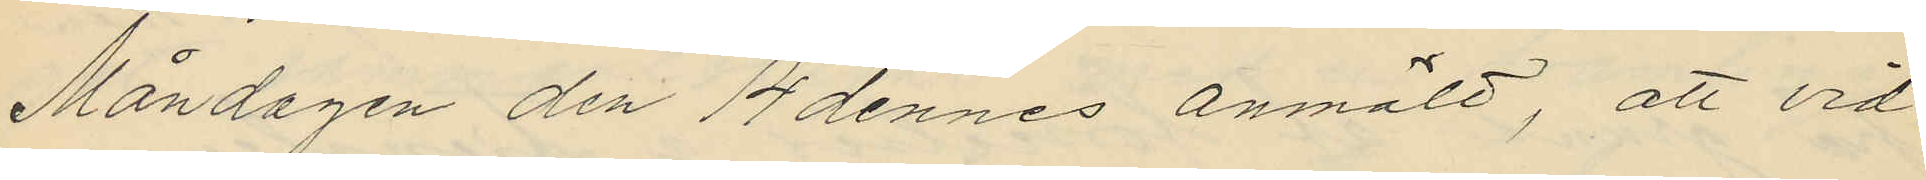Måndagen den 14 dennes anmält, att vid
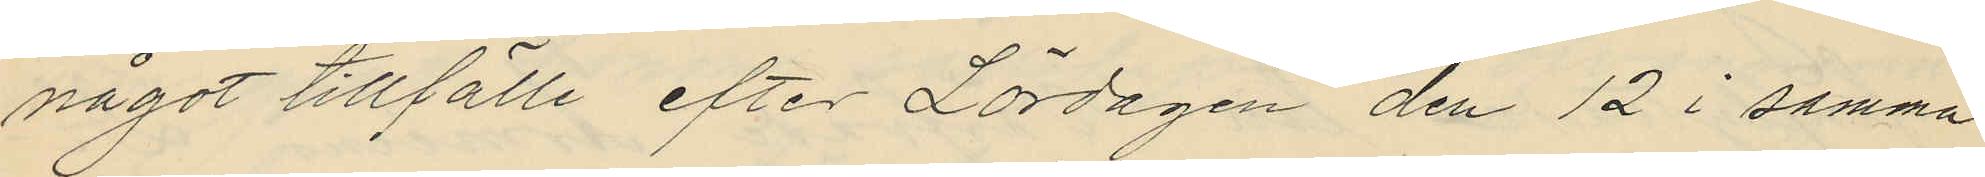något tillfälle efter Lördagen den 12 i samma
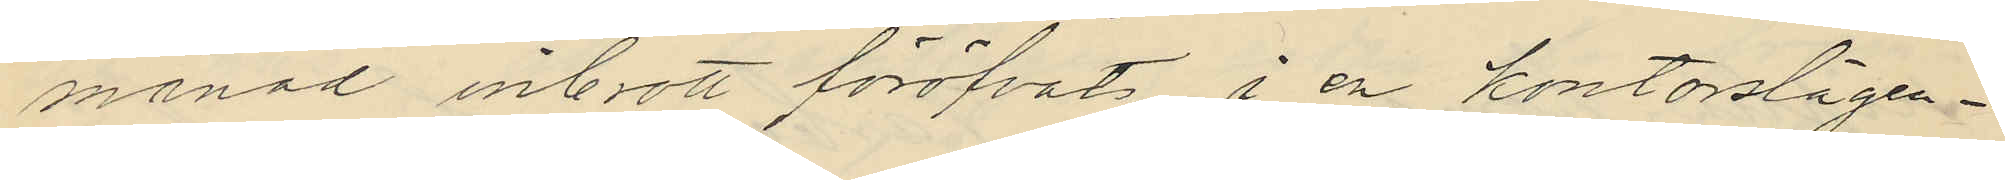månad inbrott föröfvats i en kontorslägen¬
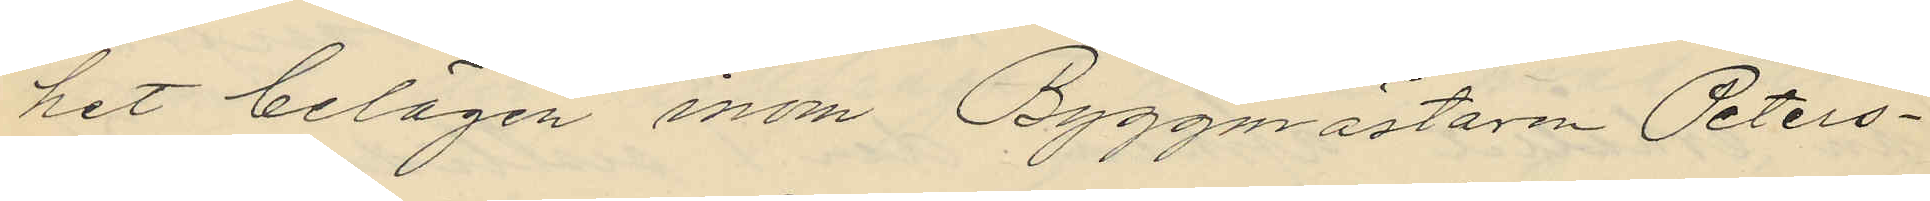het belägen inom Byggmästaren Peters¬
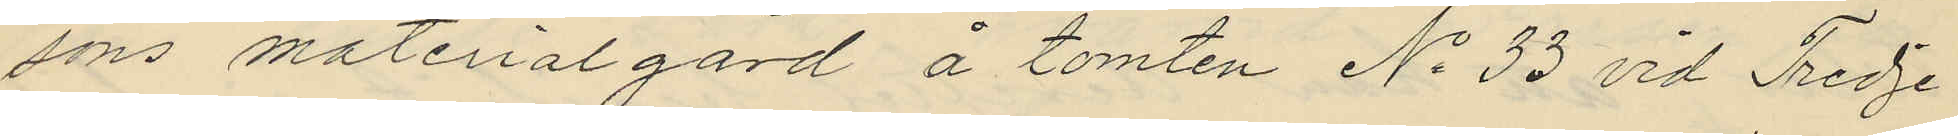sons materialgård å tomten No 33 vid Tredje
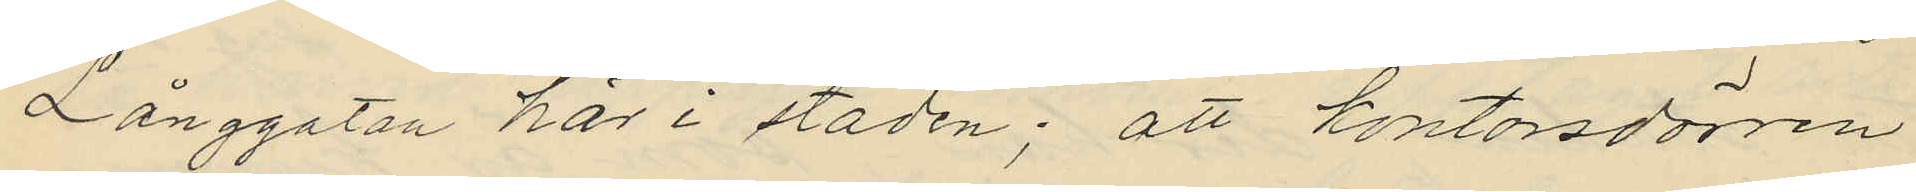Långgatan här i staden; att kontorsdörren
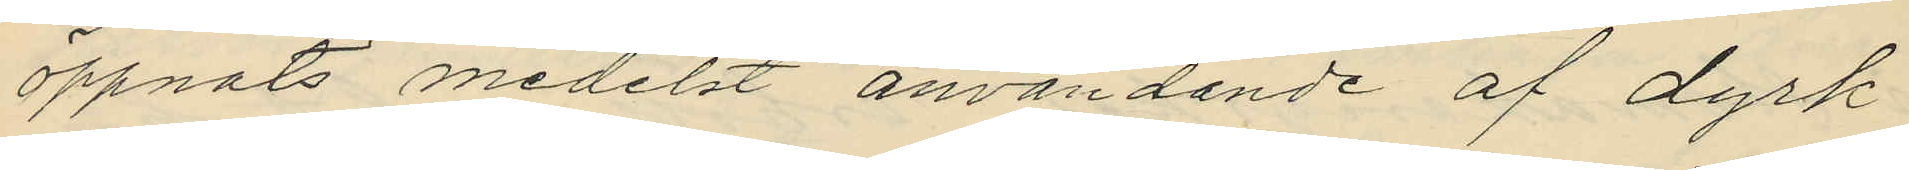öppnats medelst användande af dyrk
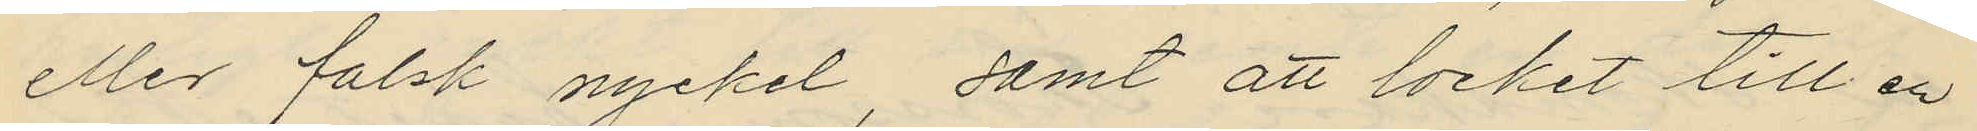eller falsk nyckel, samt att locket till en
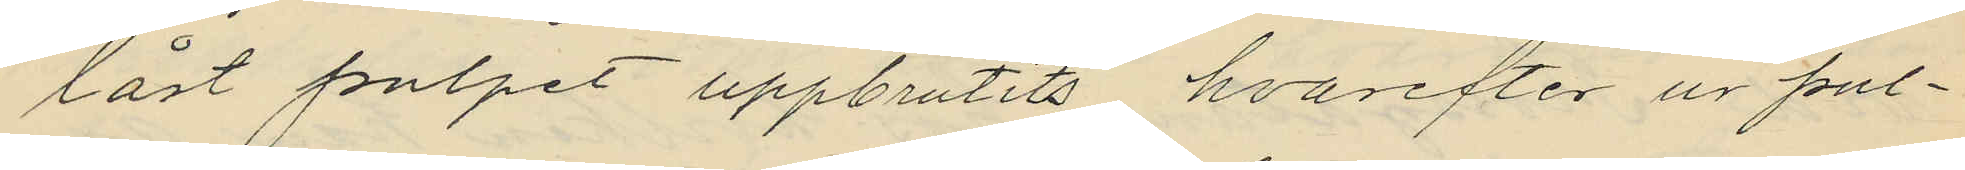låst pulpet uppbrutits, hvarefter ur pul¬
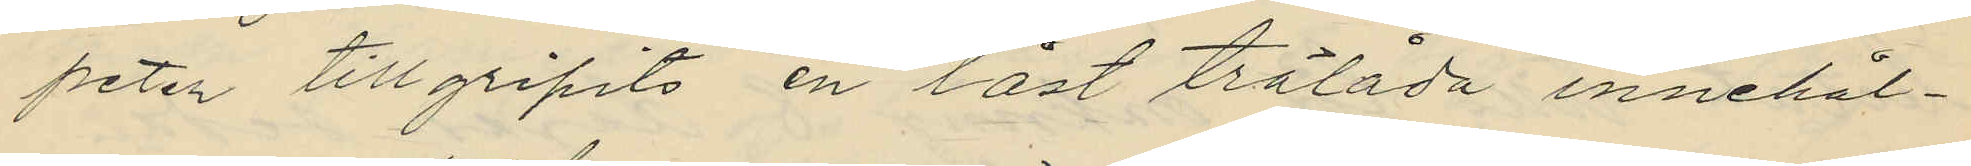peten tillgripits en låst trälåda innehål¬
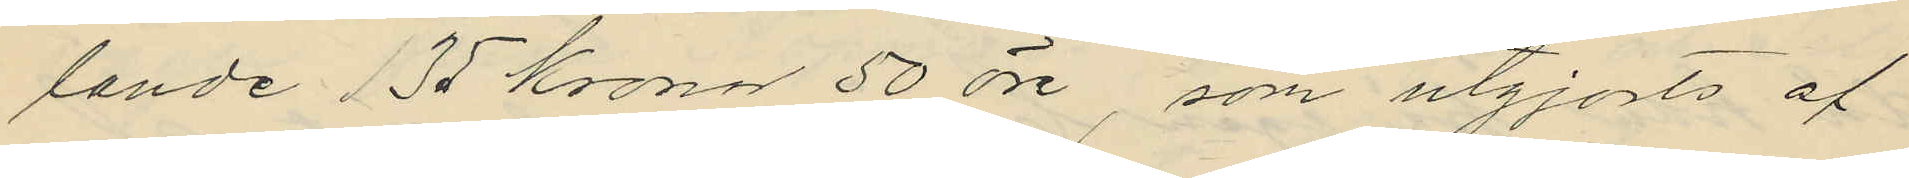lande 135 Kronor 50 öre, som utgjorts af
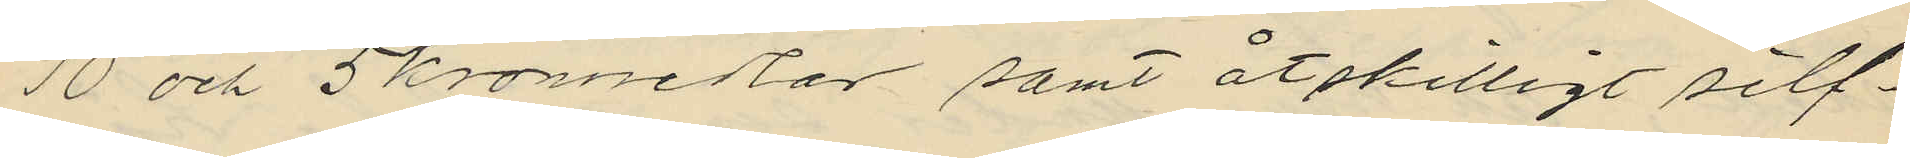10 och 5kronosedlar samt åtskilligt silf¬
